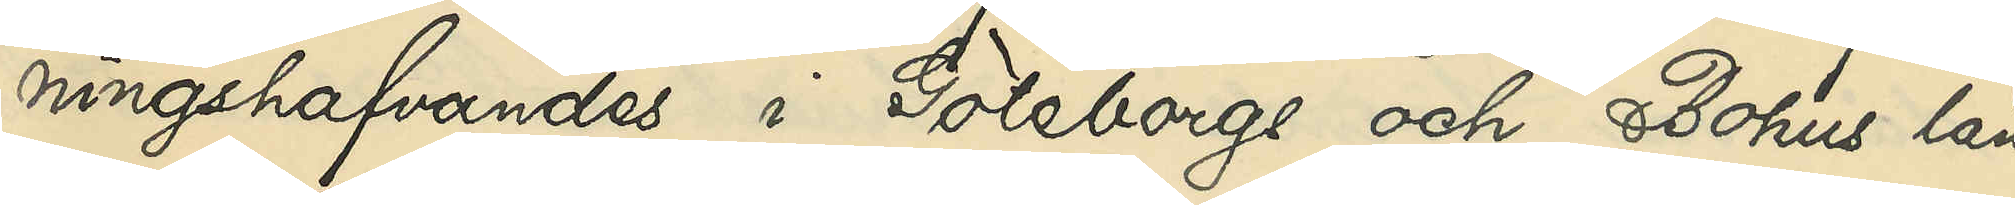ningshafvandes i Göteborgs och Bohus län
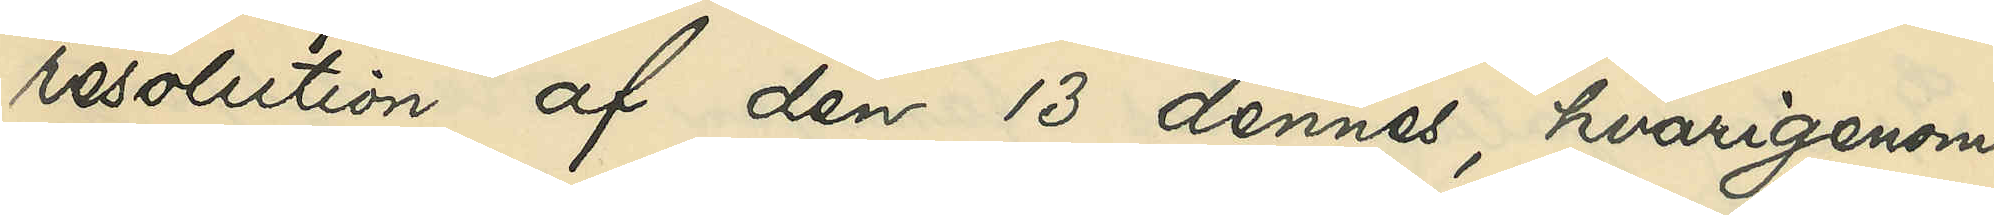resolution af den 13 dennes, hvarigenom
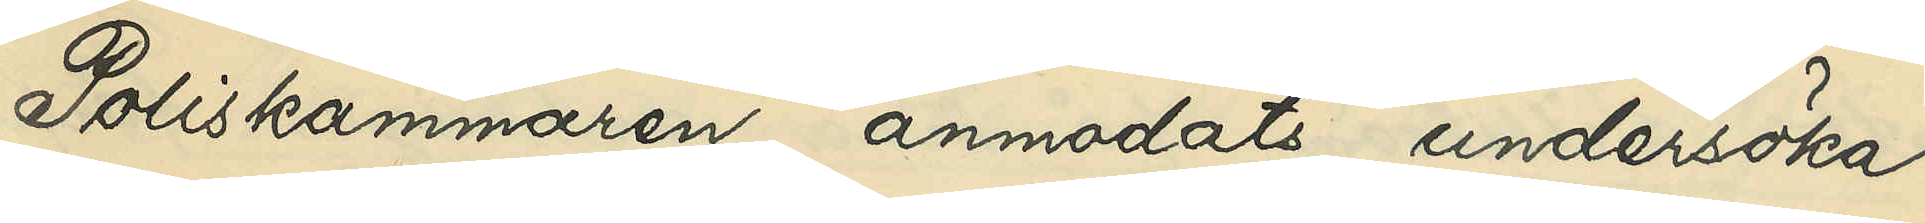Poliskammaren anmodats undersöka,
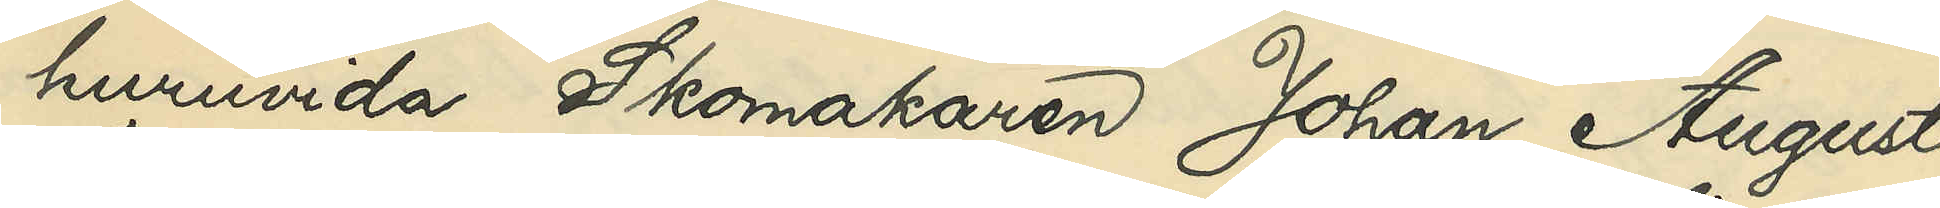huruvida Skomakaren Johan August
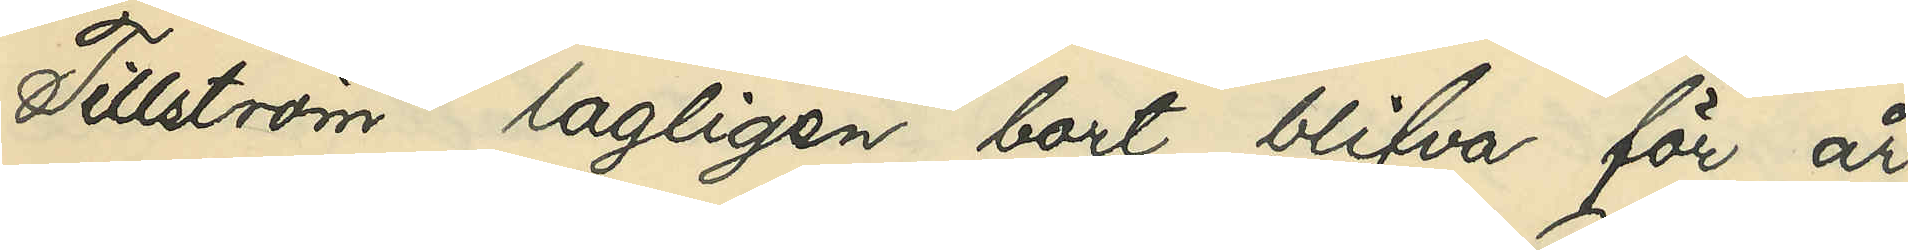Tillström lagligen bort blifva för år
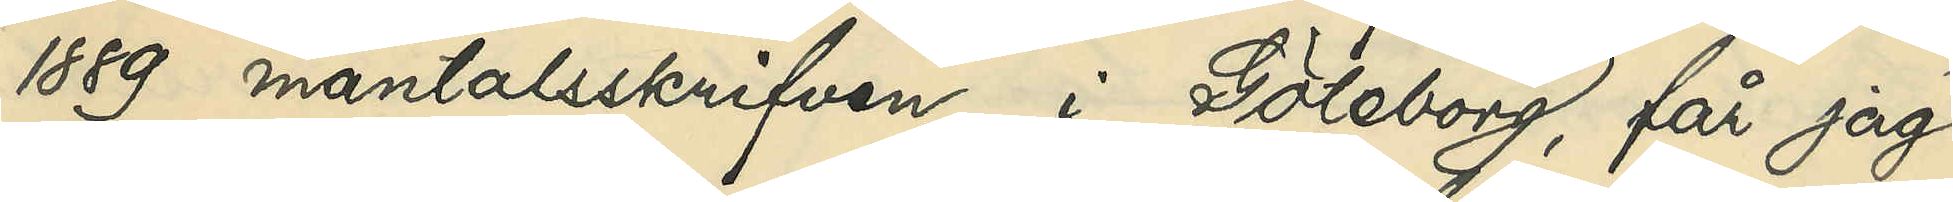1889 mantalsskrifven i Göteborg, får jag
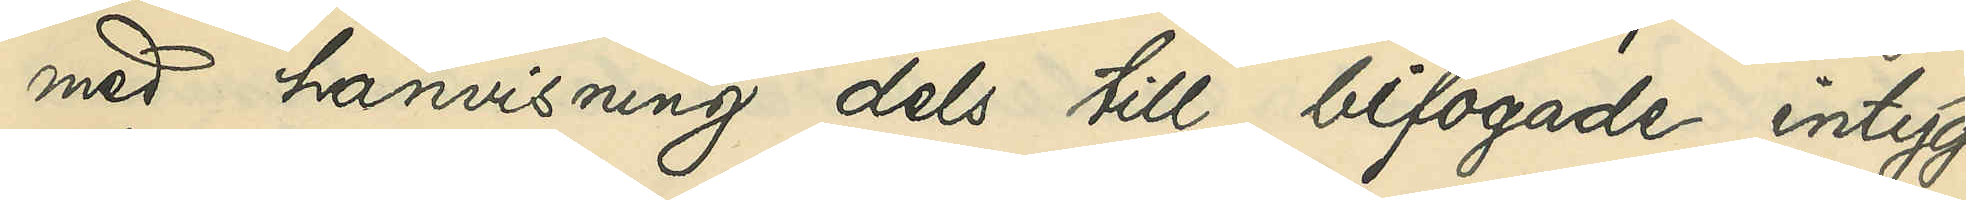med hänvisning dels till bifogade intyg
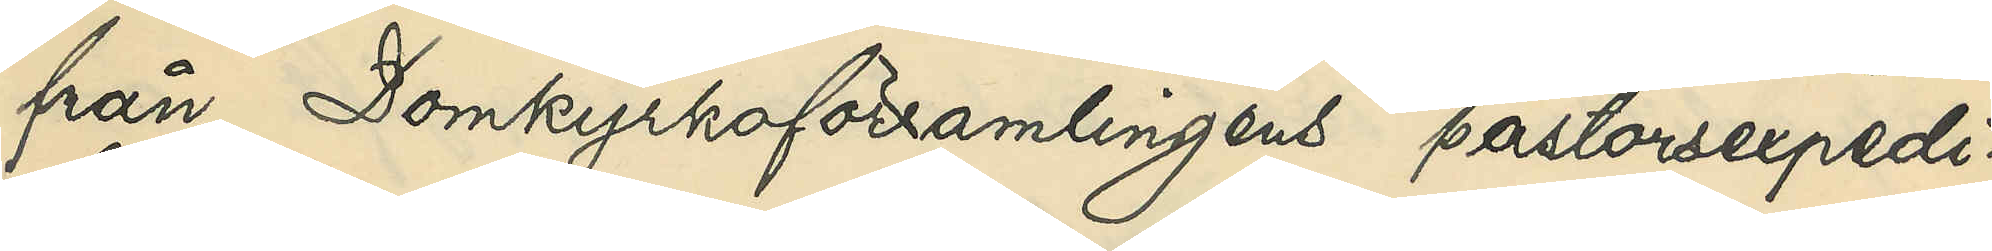från Domkyrkoförsamlingens pastosexpedi¬
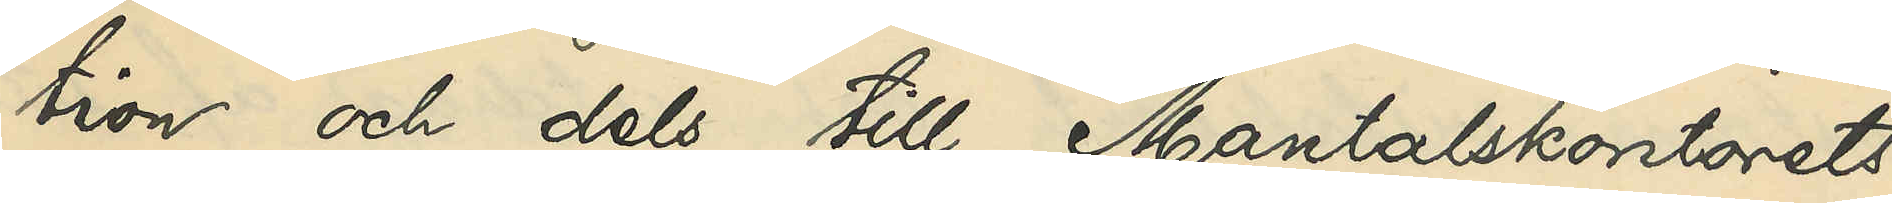tion och dels till Mantalskontorets
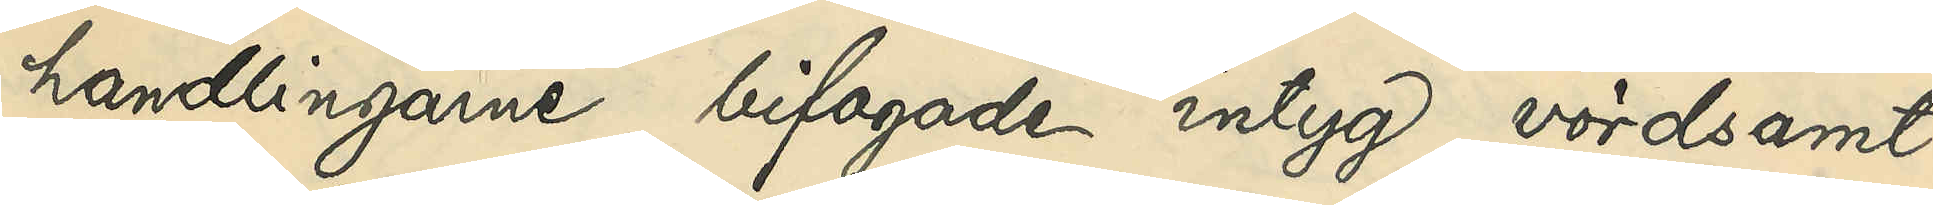handlingarne bifogade intyg, vördsamt
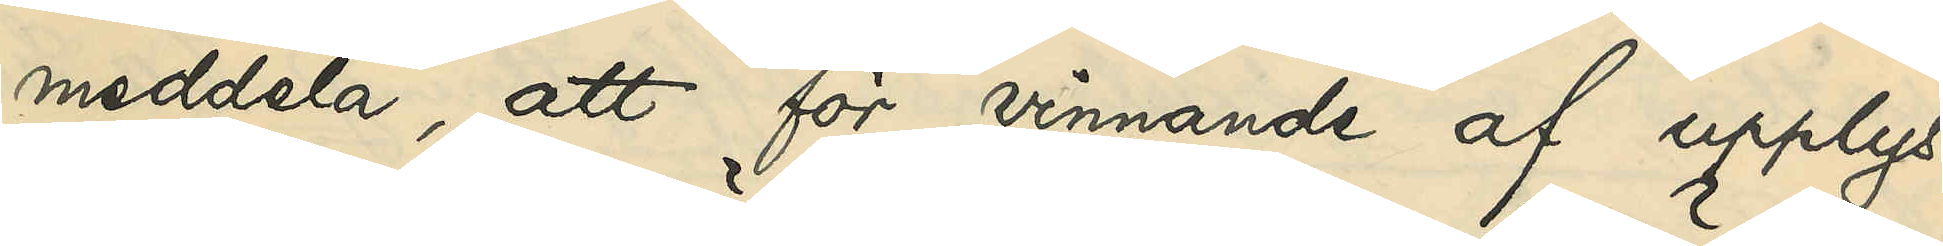meddela, att för vinnande af upplys¬
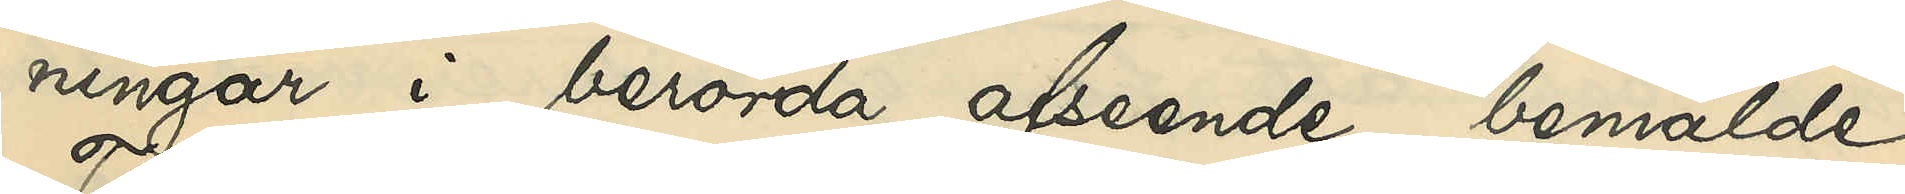ningar i berörda afseende bemälda
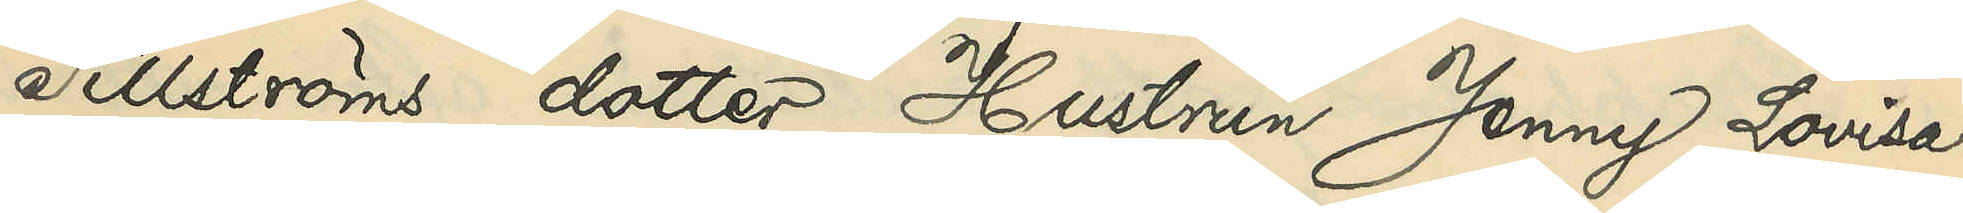Tillströms dotter, Hustrun Jenny Lovisa
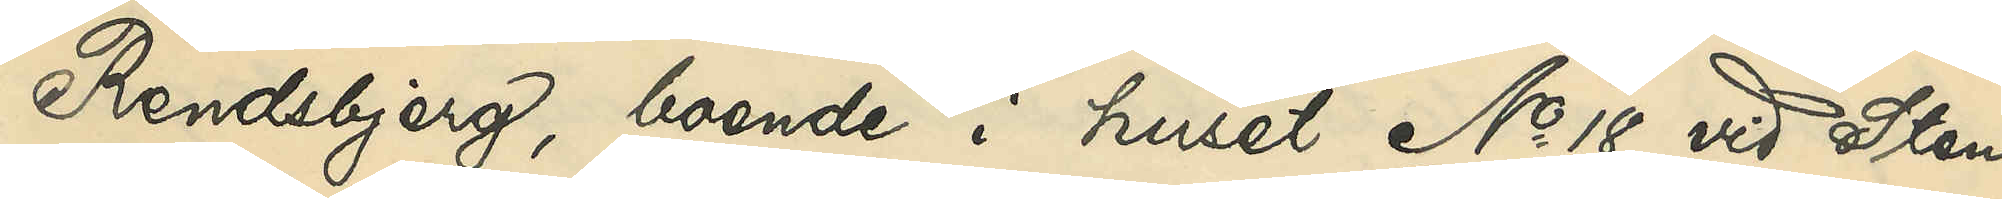Rendbjerg, boende i huset No 18 vid Sten
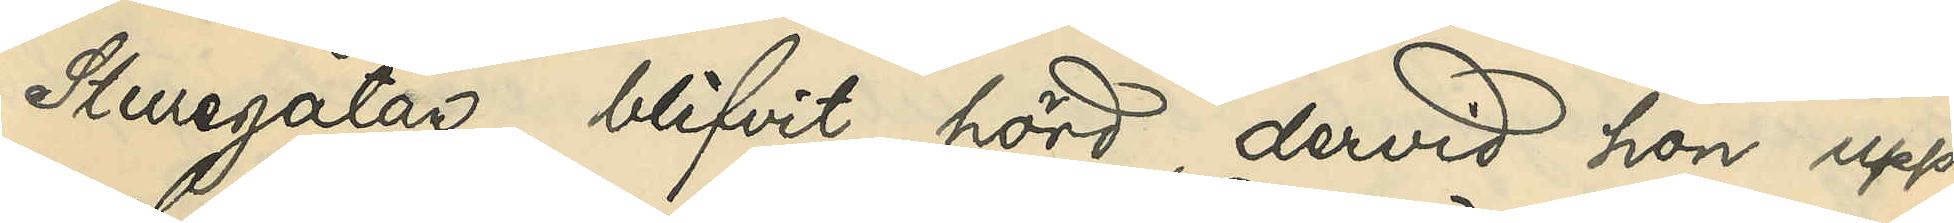Sturegatan, blifvit hörd, dervid hon upp¬
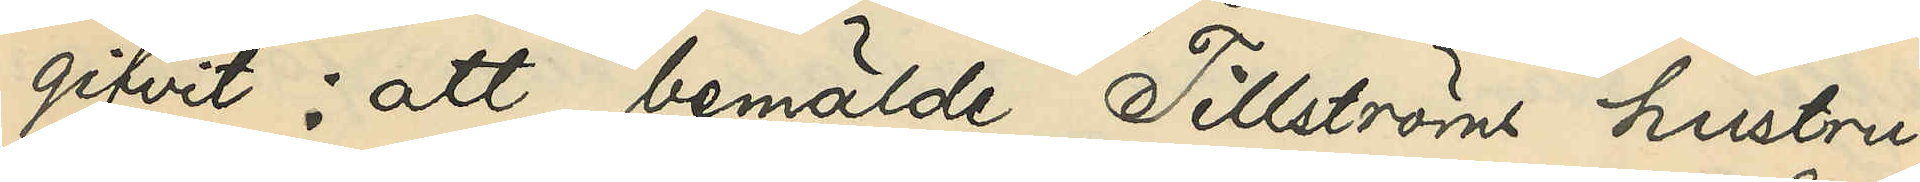gifvit: att bemälde Tillströms hustru,
